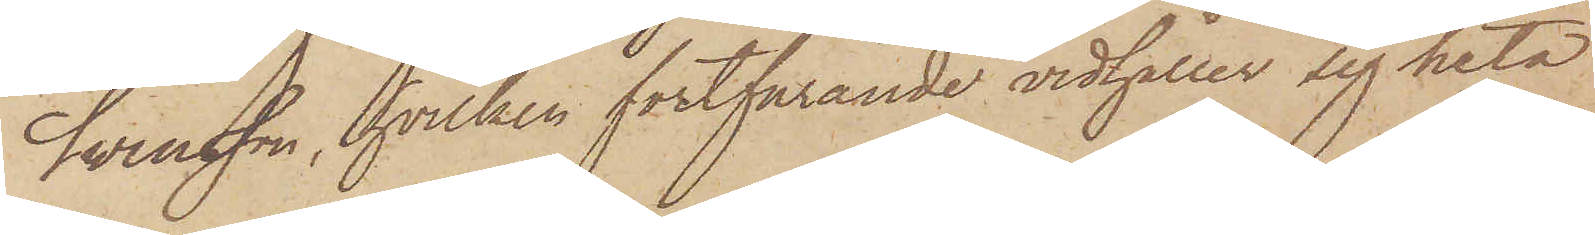Svensson, hvilken fortfarande vidhåller sig heta
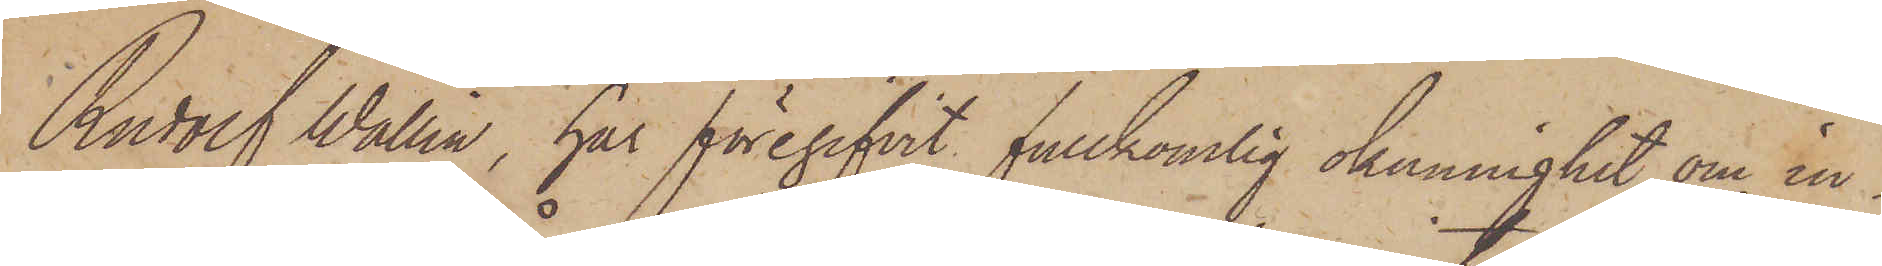Rudolf Wallin, har föregifvit fullkomlig okunnighet om in¬
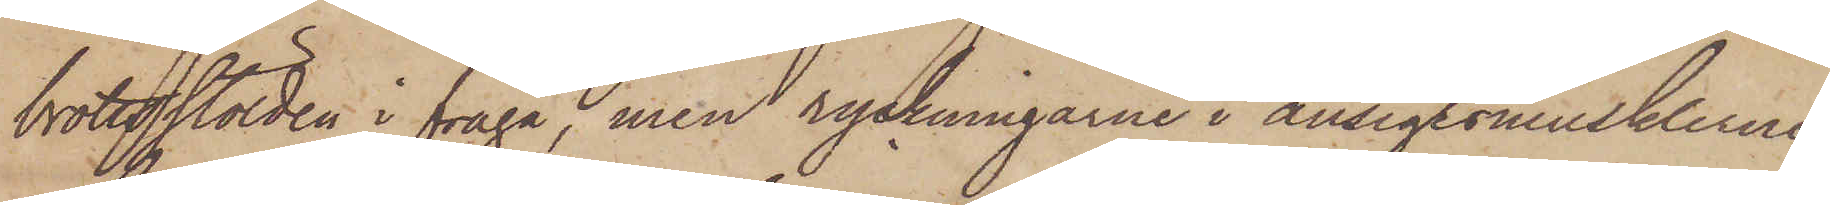brottsstölden i fråga, men ryckningarne i ansigtsmusklerne
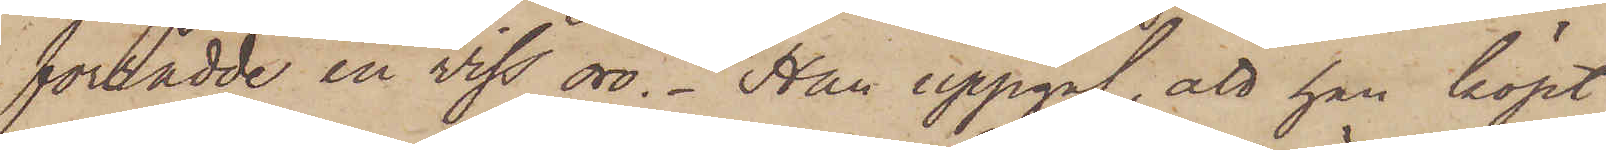förrådde en viss oro. Han uppgaf att han köpt
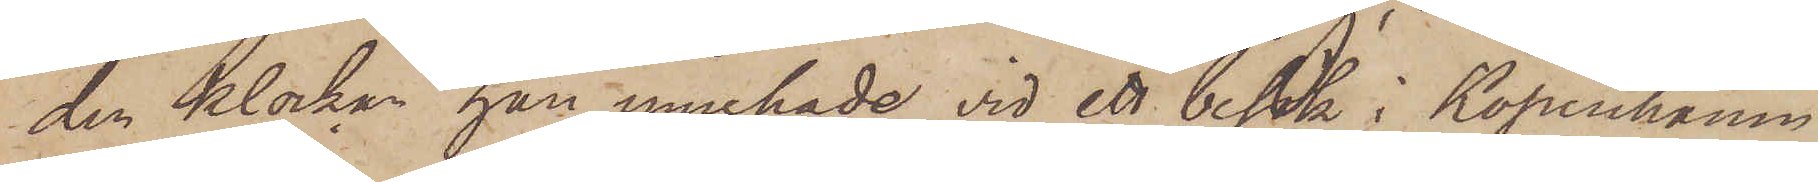den klockan han innehade vid ett besök i Köpenhamn
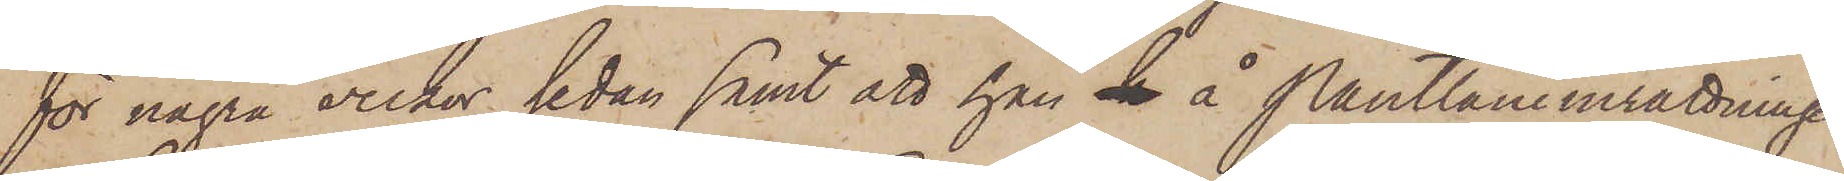för några veckor sedan samt att han h å Pantlåneinrättningen
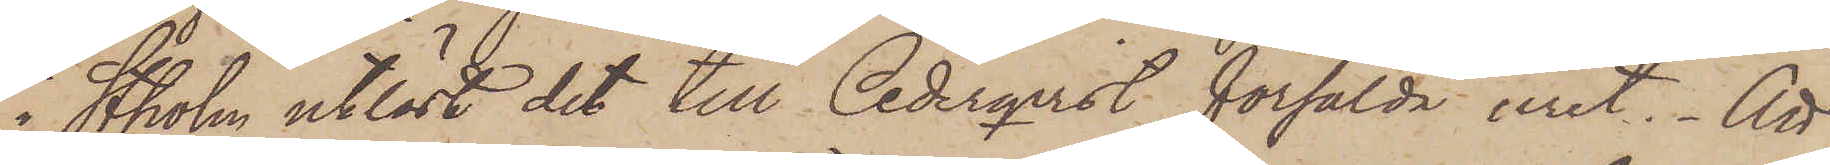i Stholm utlöst det till Cederqvist försålda uret. Att
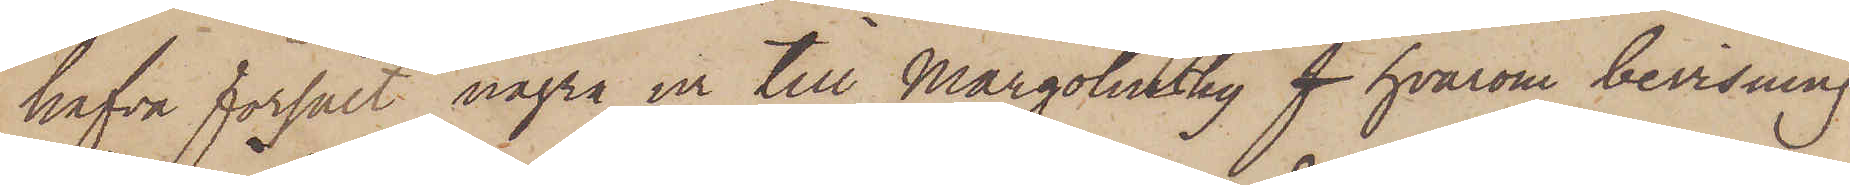hafva försålt några ur till Margolinsky f hvarom bevisning
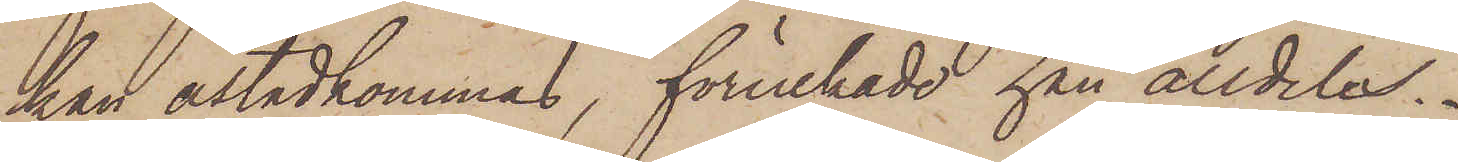kan åstadkommas, förnekade han alldeles.
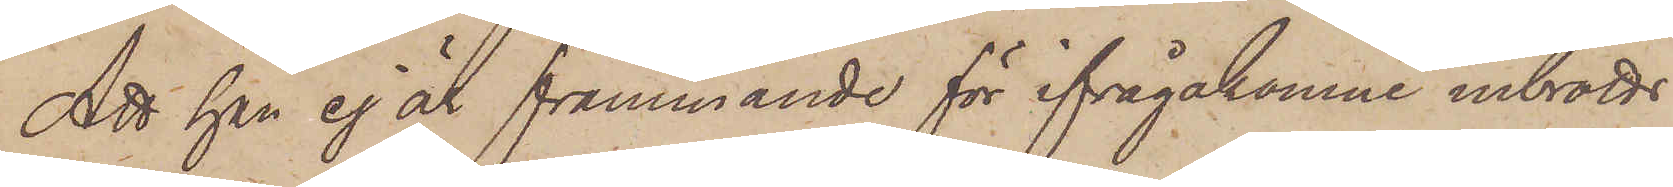Att han ej är främmande för ifrågakomne inbrotts¬
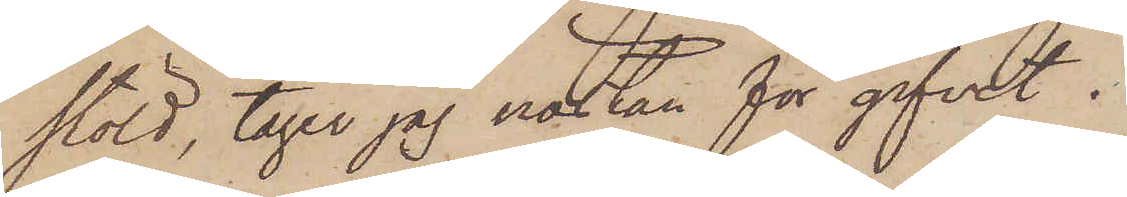stöld, tager jag nästan för gifvet.
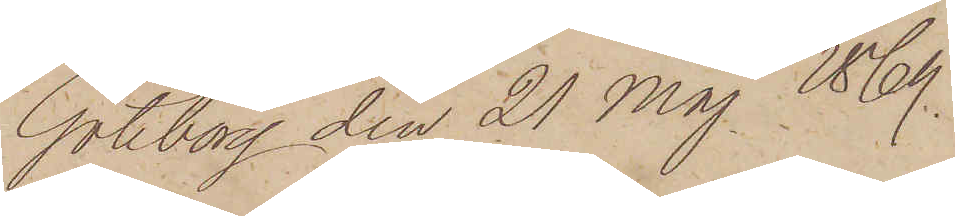Göteborg den 21 Maj 1869.
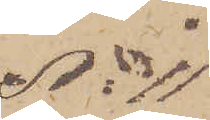No 11
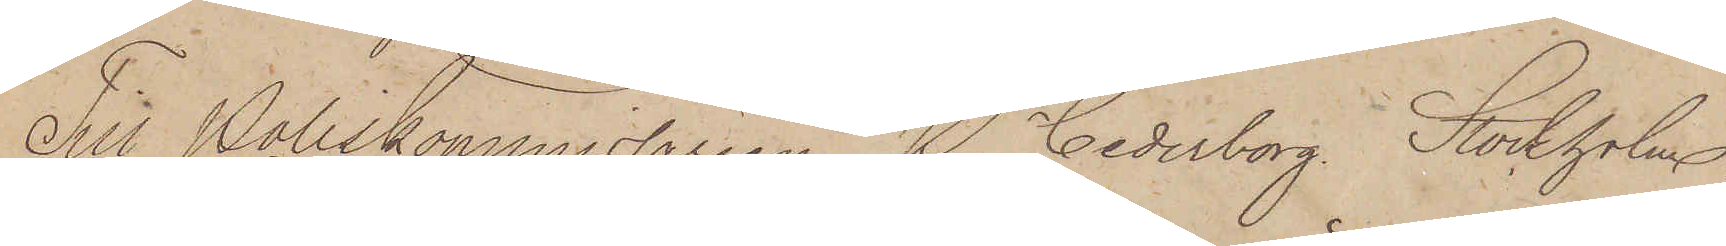Till Poliskommissarien P. Cederborg Storkholm
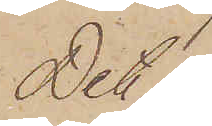Det i
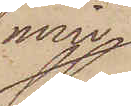min
